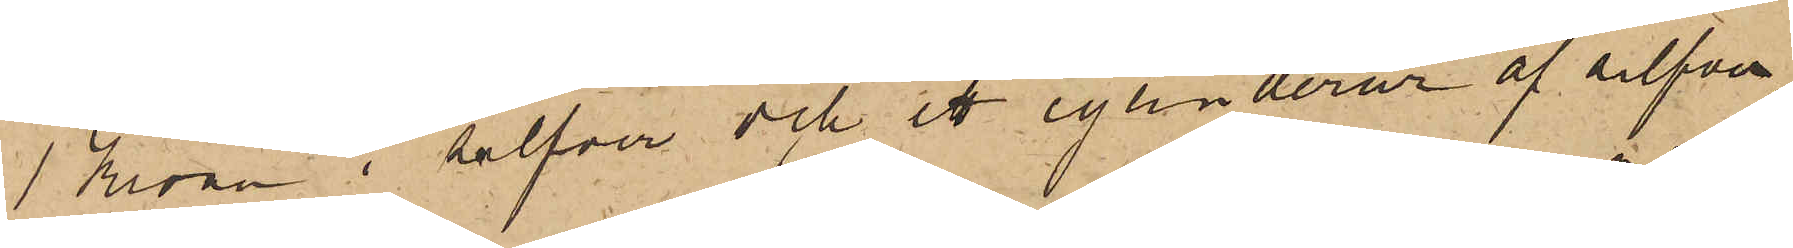1 Kronor i silfver och ett cylinderur af silfver
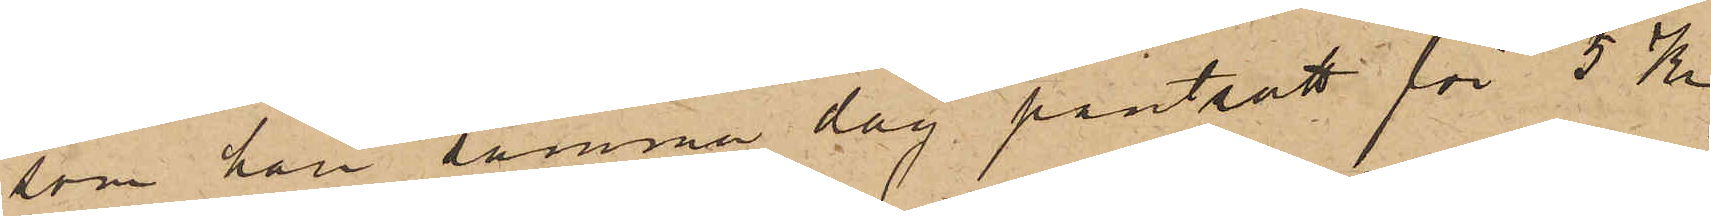som han samma dag pantsatt för 5 Kr
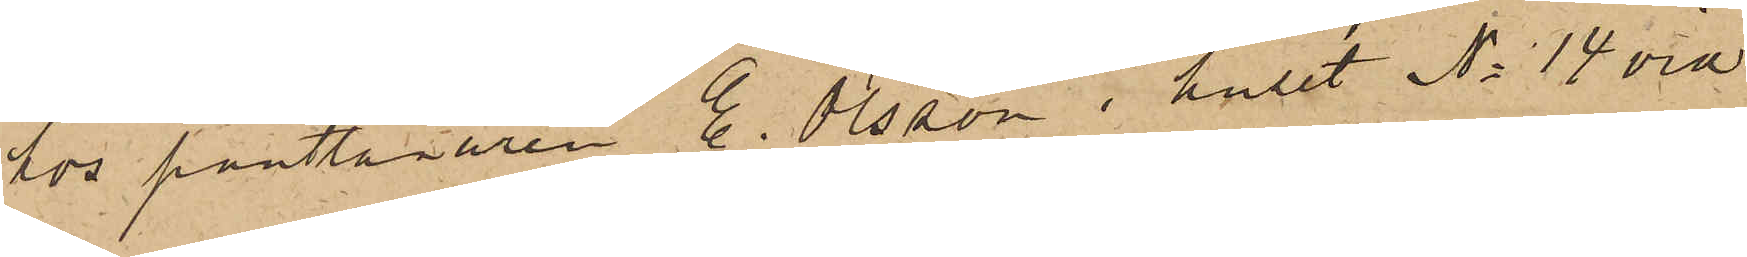hos pantlånaren E. Olsson i huset No 14 vid
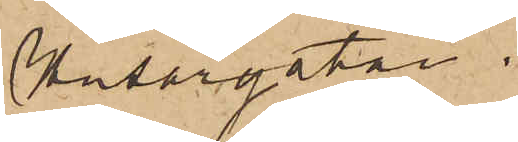Husargatan.
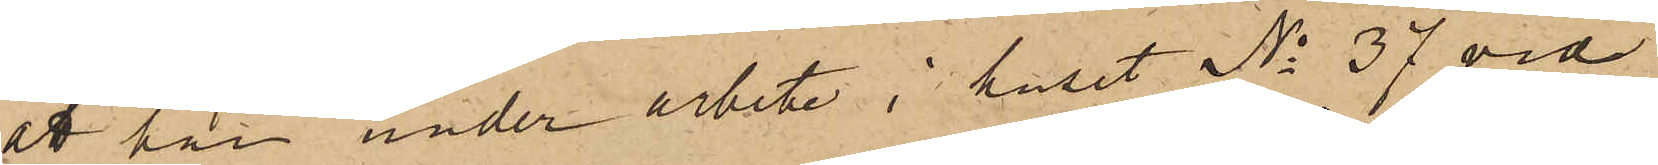att han under arbete i huset No 37 vid
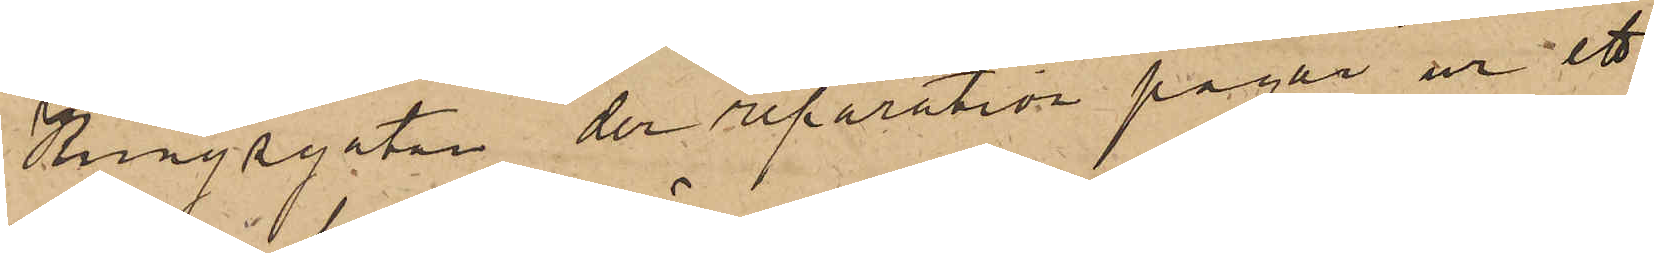Kungsgatan der reparation pågår ur ett
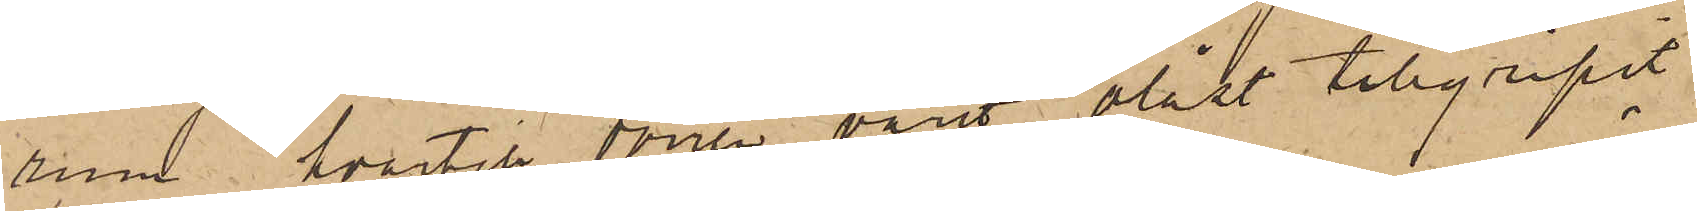rum hvartill dörren varit olåst tillgripit
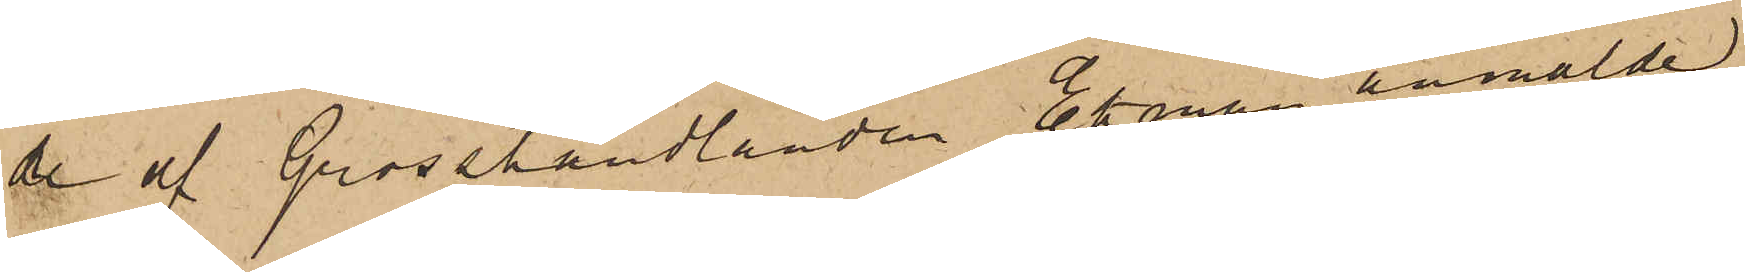de af Grosshandlanden Ekman anmälde
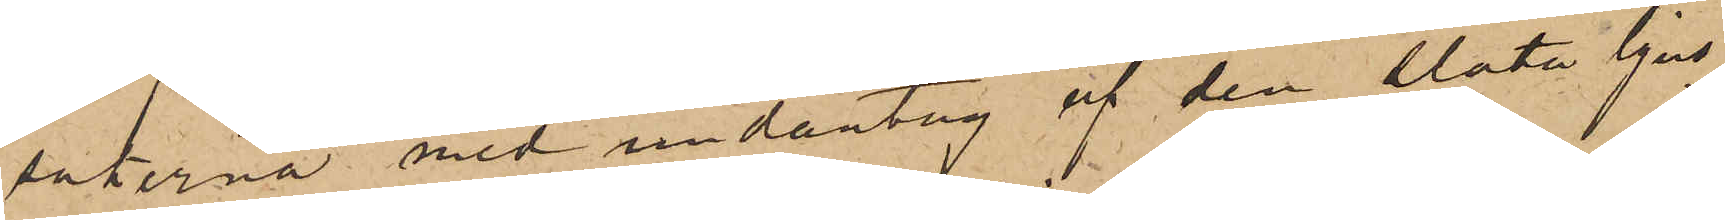sakerna med undantag af den släta ljus¬
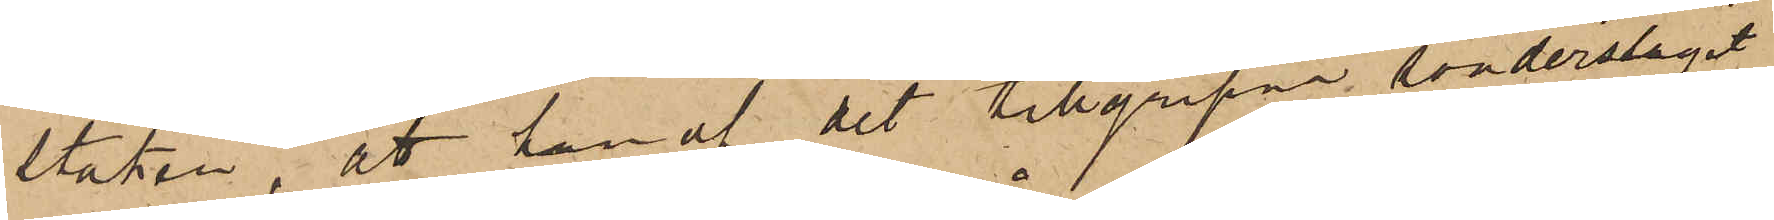staken, att han af det tillgripne sönderslagit
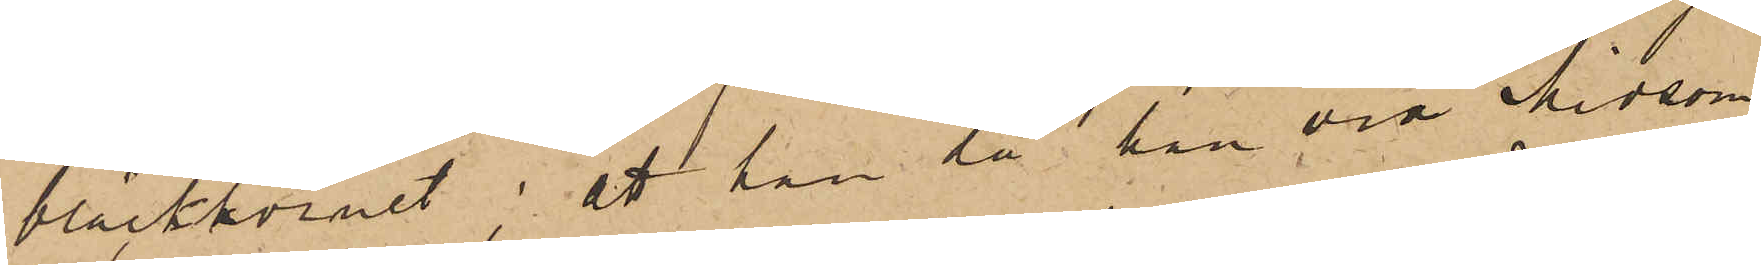bläckhornet; att han då han vid Midsom¬
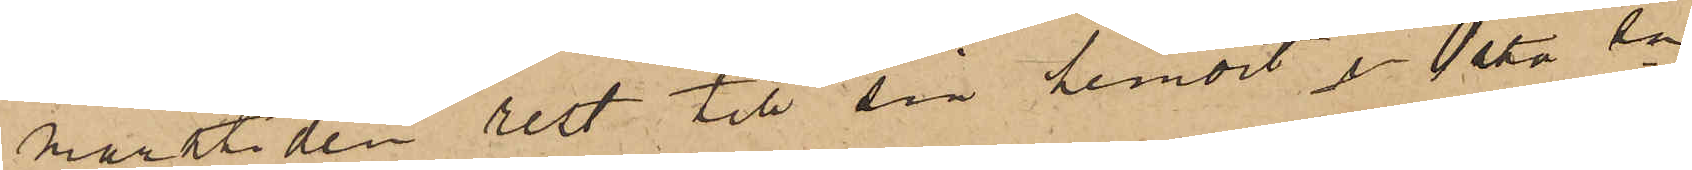martiden rest till sin hemort i Östa sn
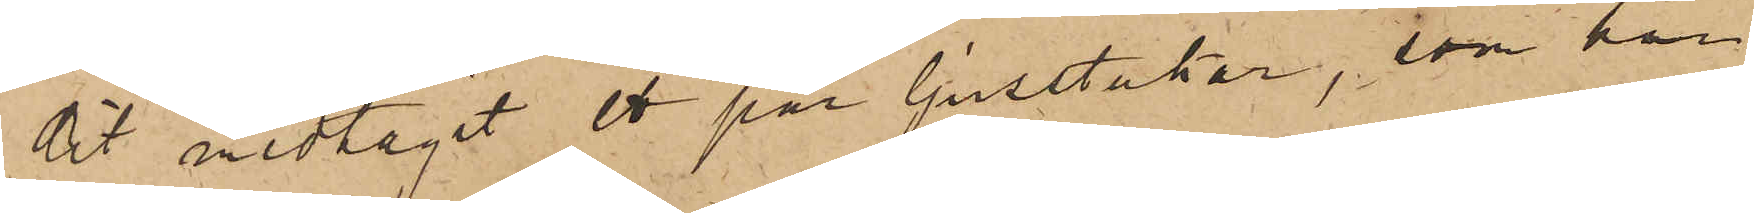dit medtagit ett par ljusstakar, som han
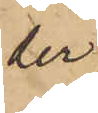der
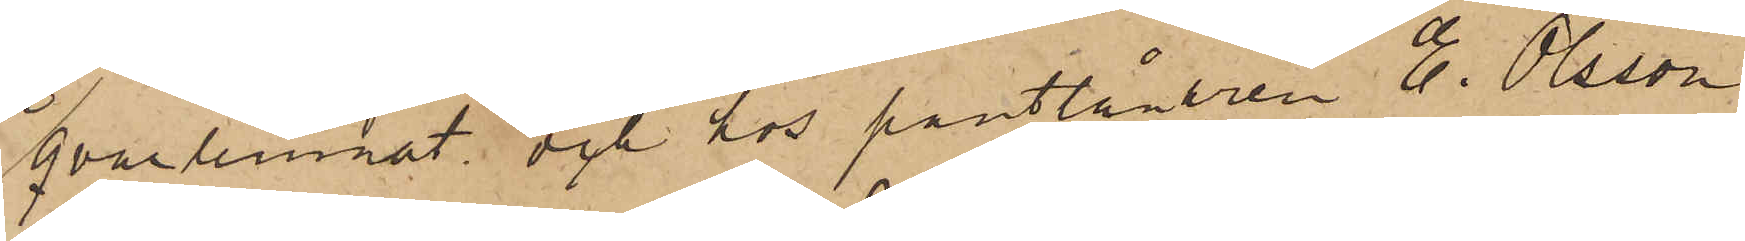qvarlemnat och hos pantlånaren E. Olsson
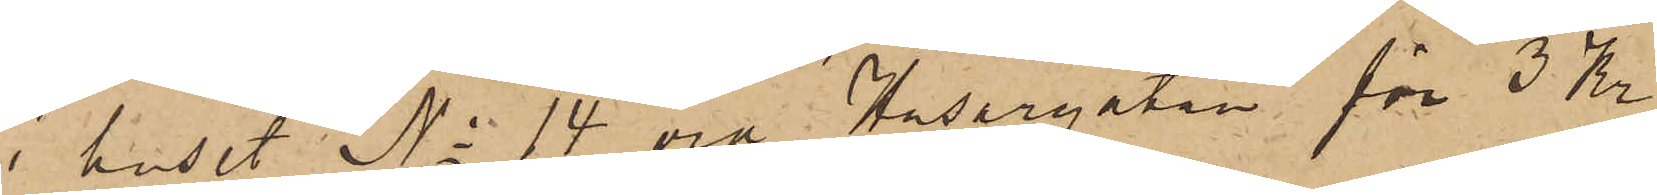i huset No 14 vid Husargatan för 3 Kr
